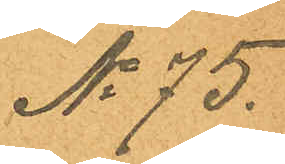No 75.
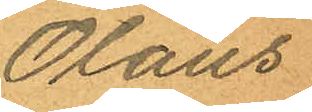Olaus
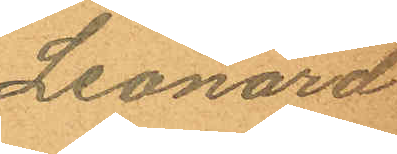Leonard
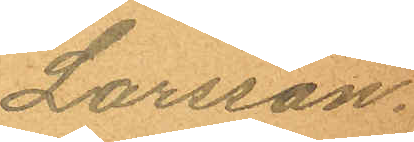Larsson.
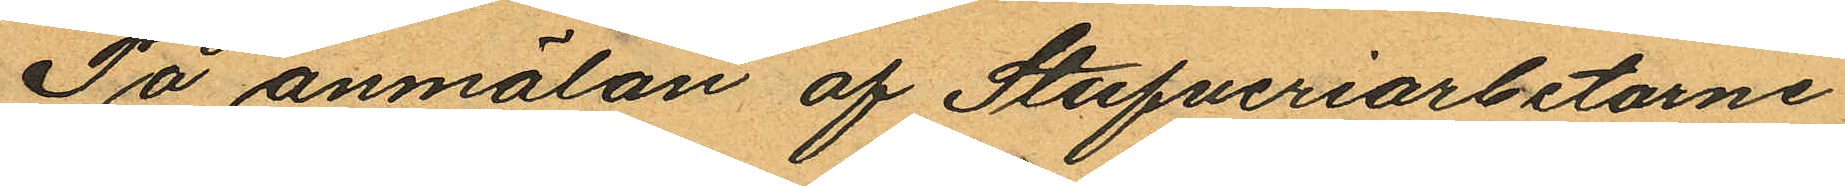På anmälan af Stufveriarbetarne
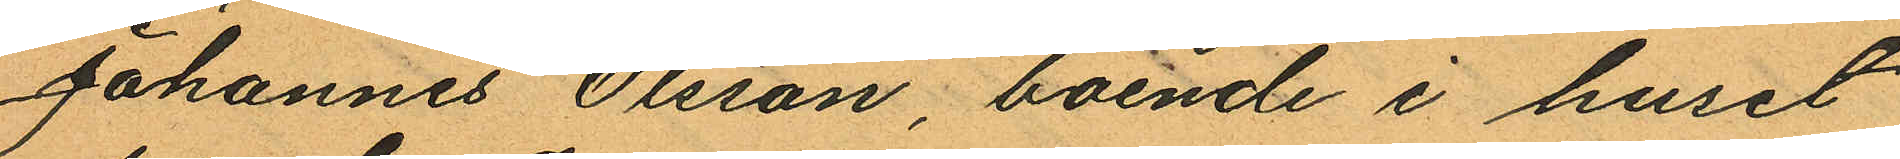Johannes Olsson boende i huset
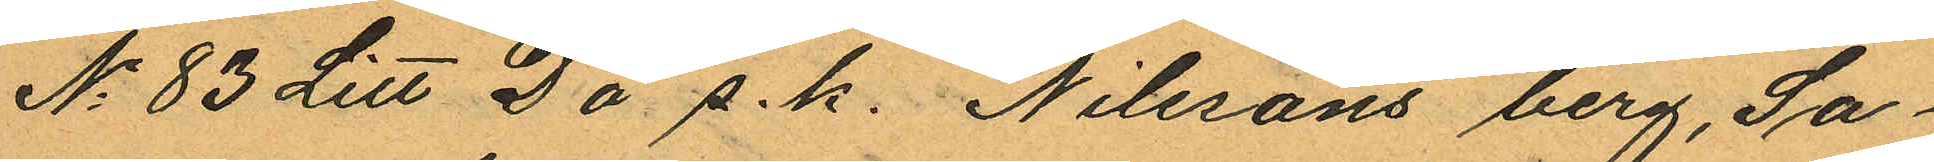No 83 Litt D å s.k. Nilssons berg, Sa¬
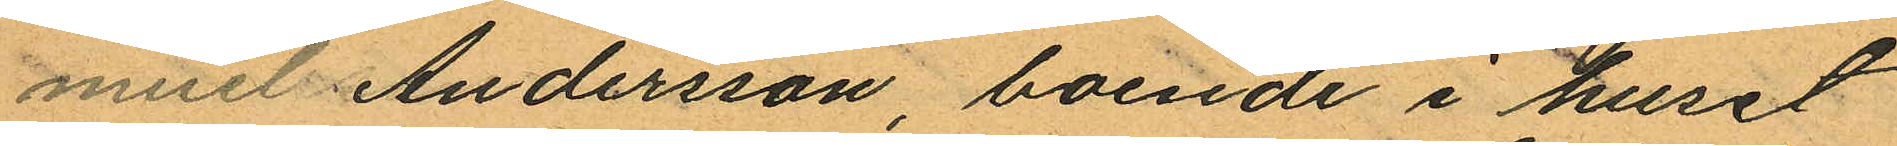muel Andersson, boende i huset
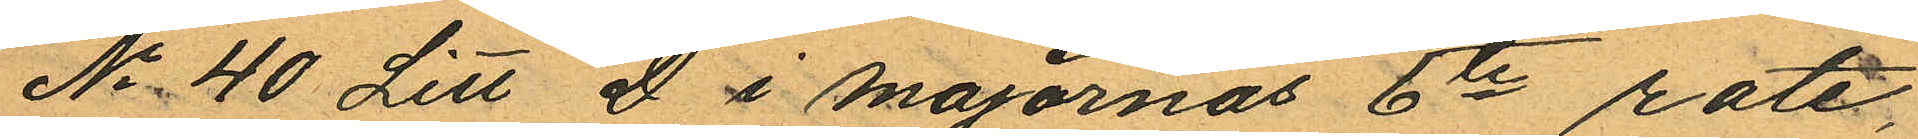No 40 Litt D i Majornas 6te rote,
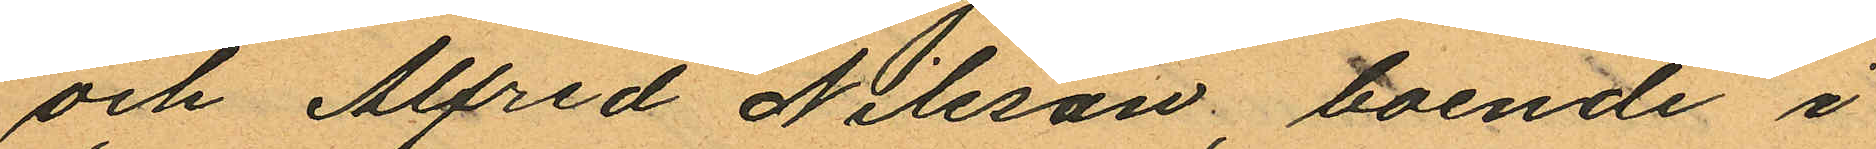och Alfred Nilsson, boende i
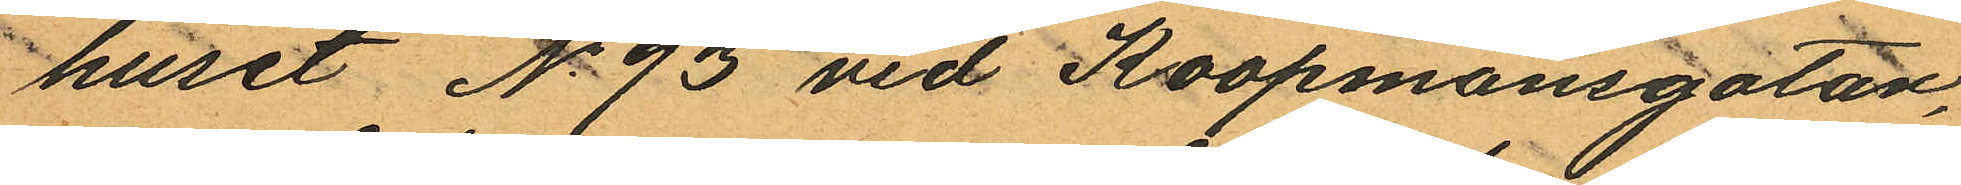huset No 93 vid Koopmansgatan,
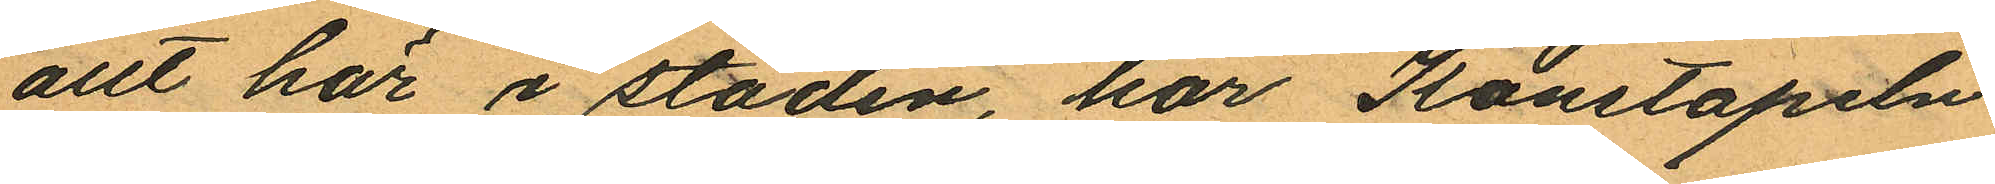allt här i staden, har Konstapeln
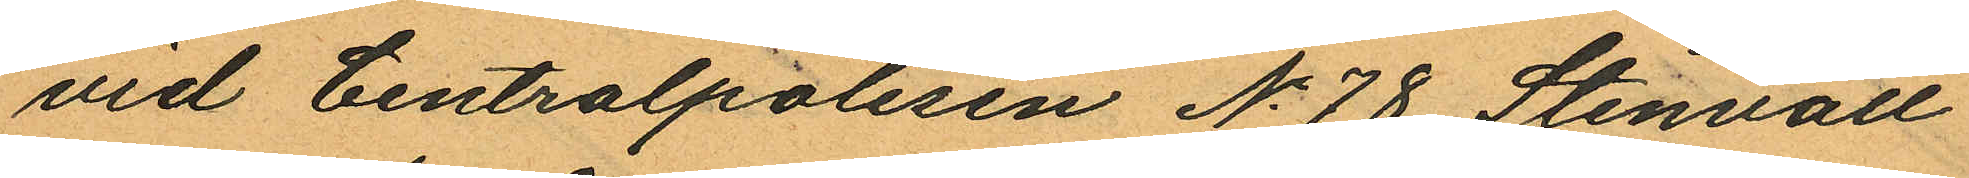vid Centralpolisen No 78 Stenvall
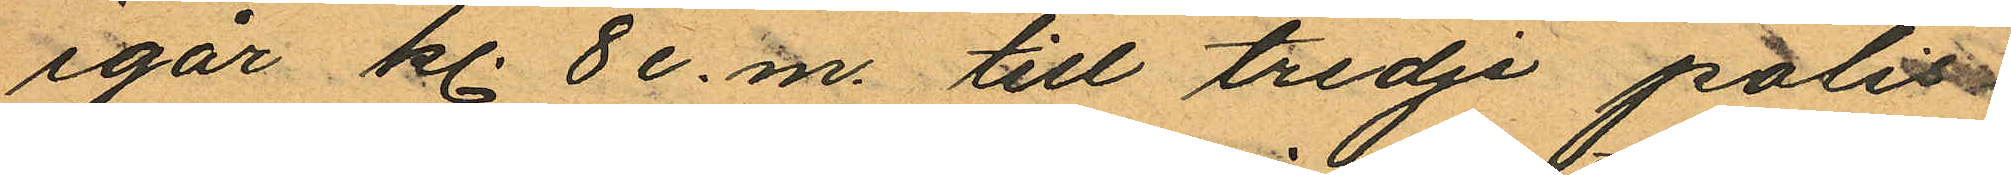igår kl. 8 e.m. till tredje polis
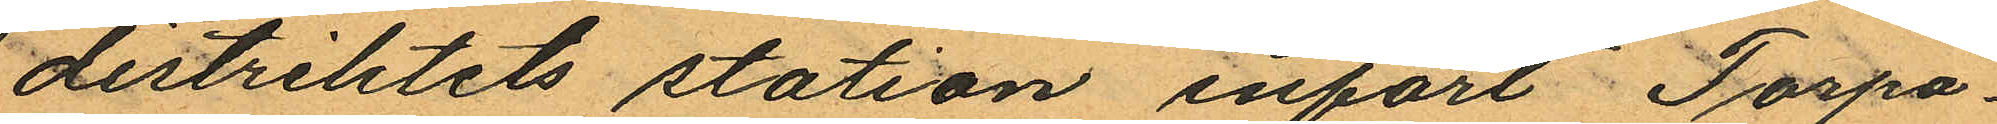distriktets station infört Torpa¬
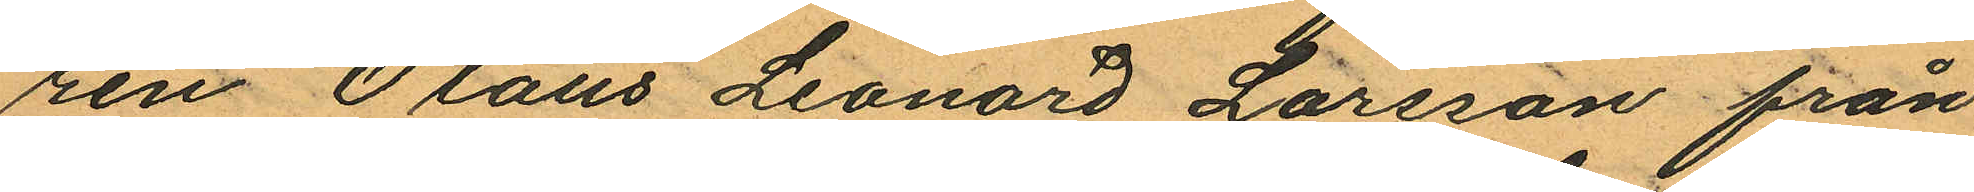ren Olaus Leonard Larsson från
